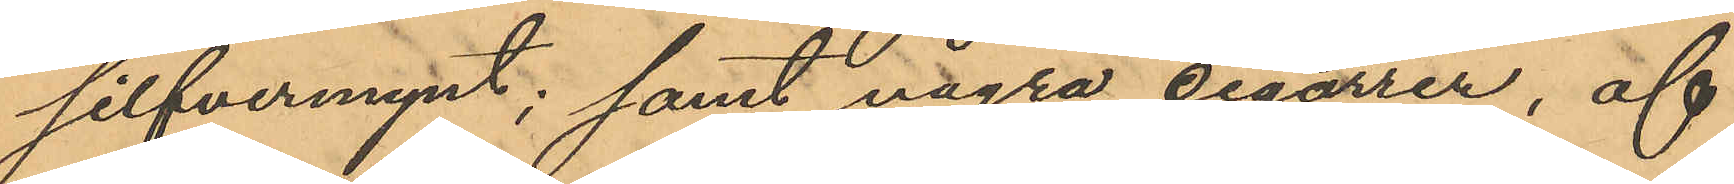silfvermynt; samt några cigarrer, af
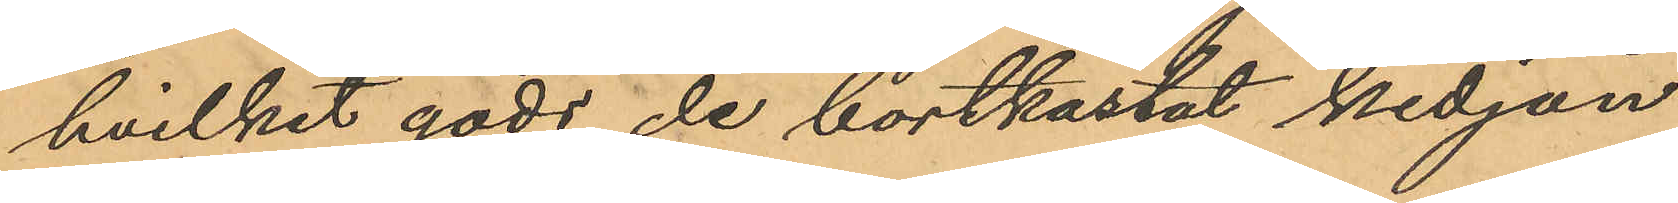hvilket gods de bortkastat kedjan
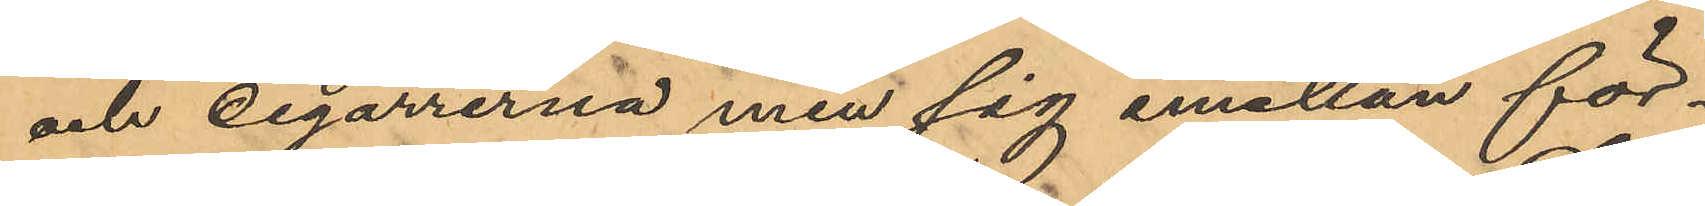och cigarrerna men sig emellan för¬
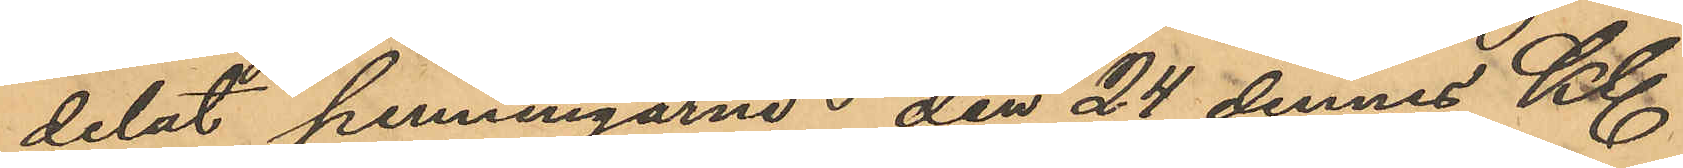delat penningarne; den 24 dennes Kl
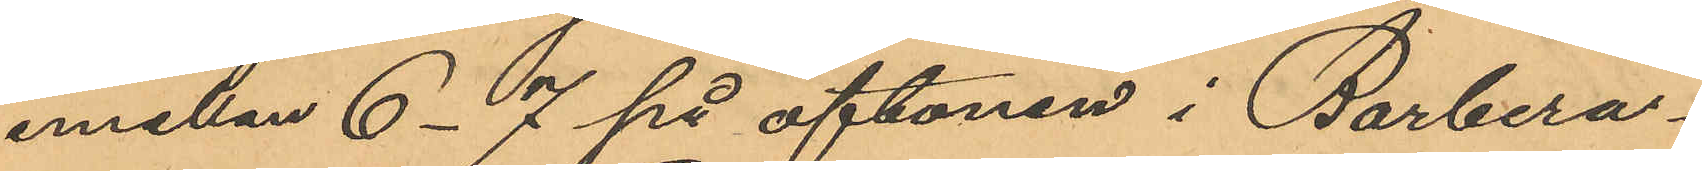emellan 6-7 på aftonen i Barbera¬
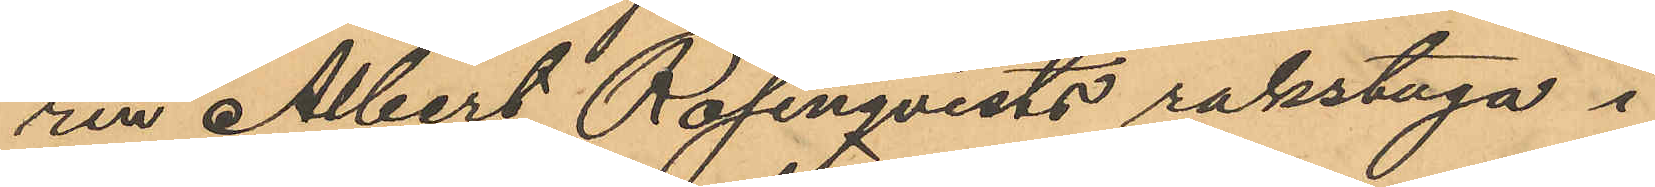ren Albert Rosenqvists rakstuga i
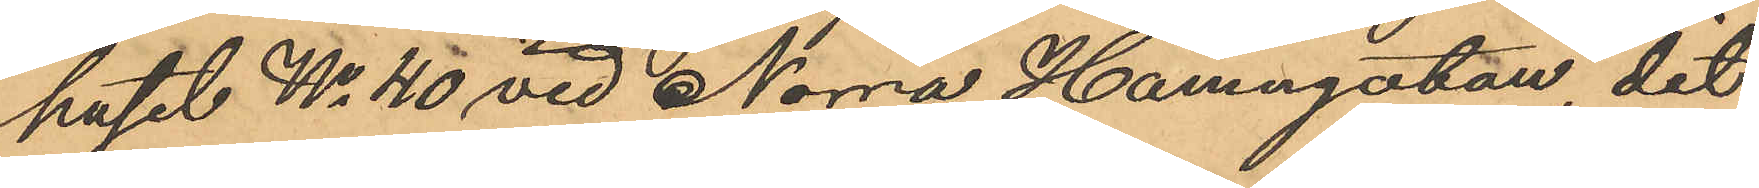huset No 40 vid Norra Hamngatan, dit
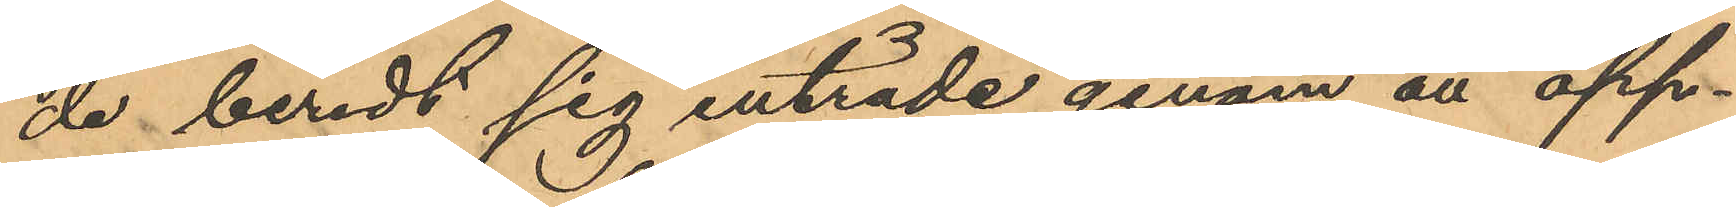de beredt sig inträde genom att öpp¬
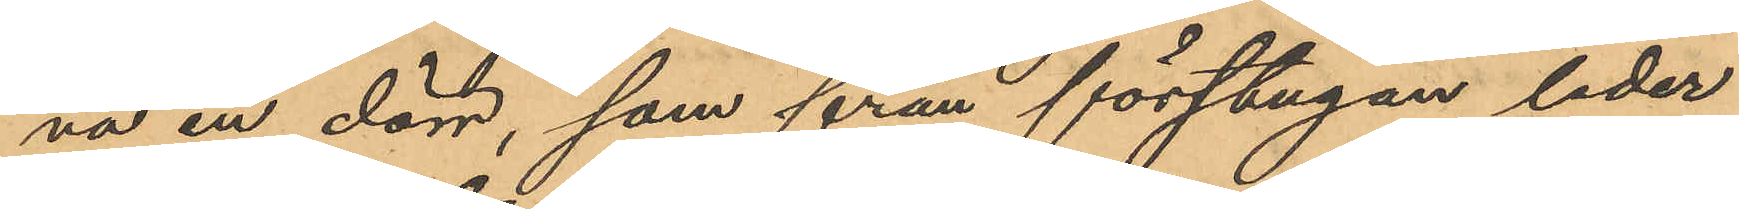na en dörr, som från förstugan leder
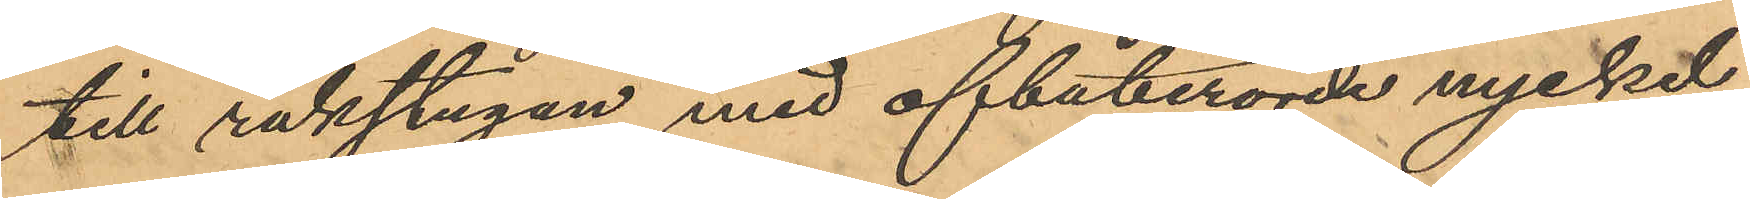till rakstugan med ofbaberörde nyckel,
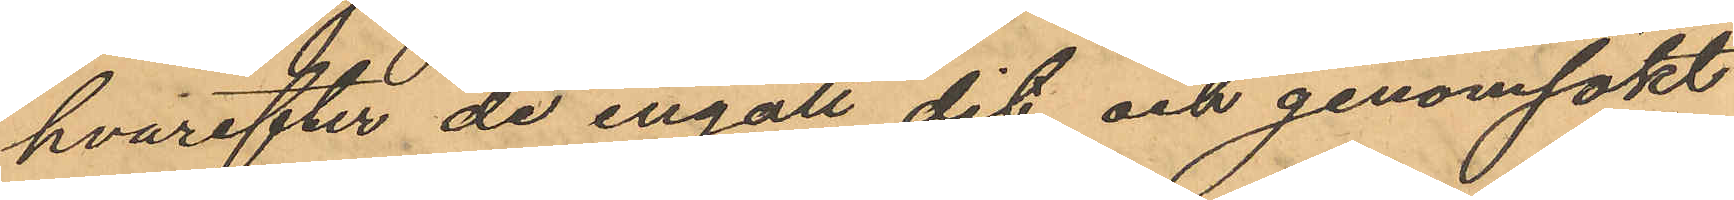hvarefter de ingått dit och genomsökt
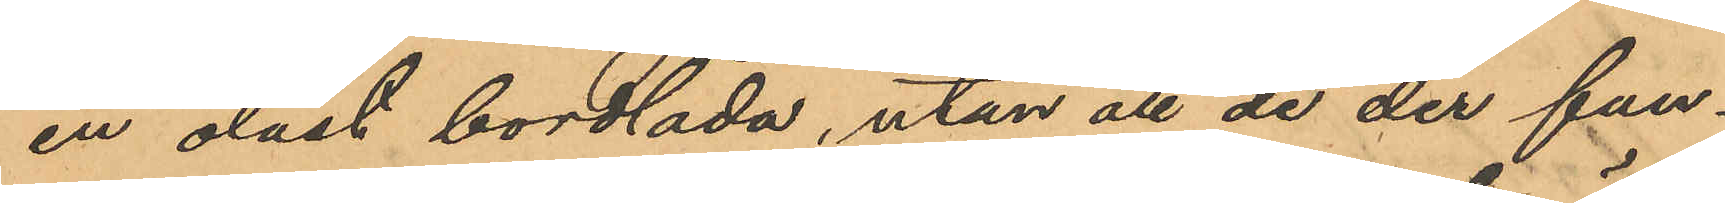en olåst bordlåda, utan att de der fun¬
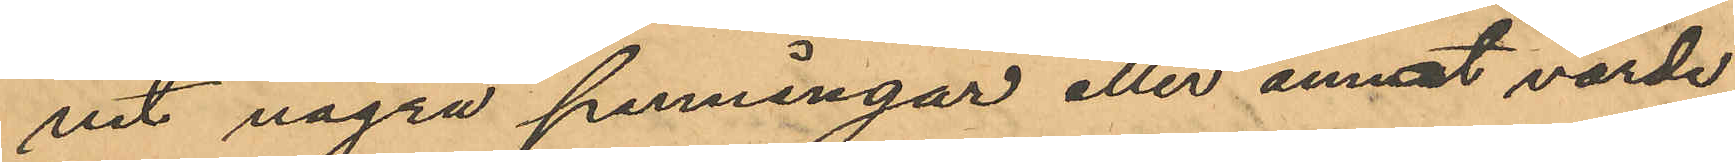nit några penningar eller annat värde¬
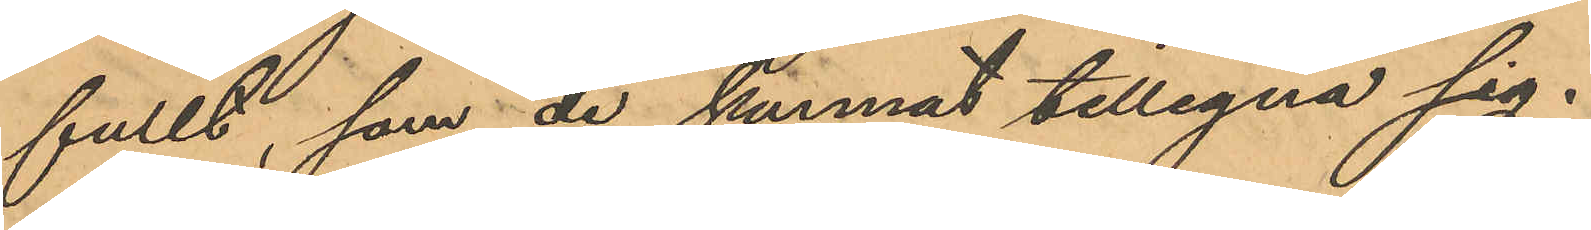fullt, som de kunnat tillegna sig.
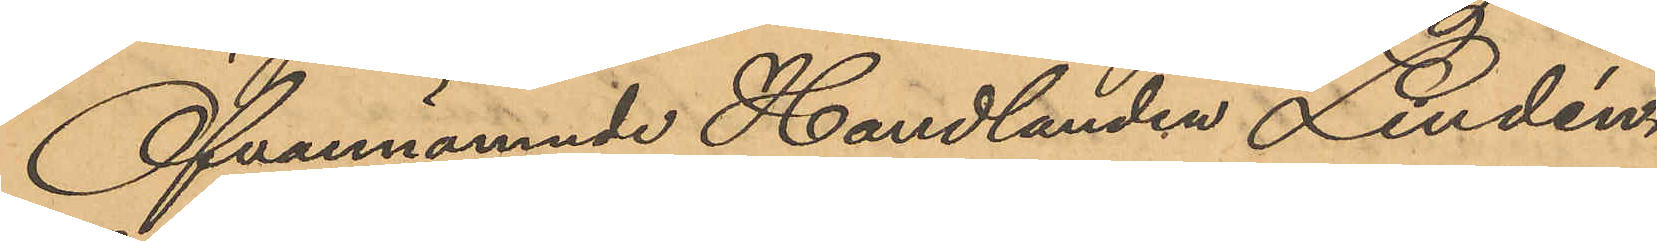Ofvannämnde Handlanden Lindén,
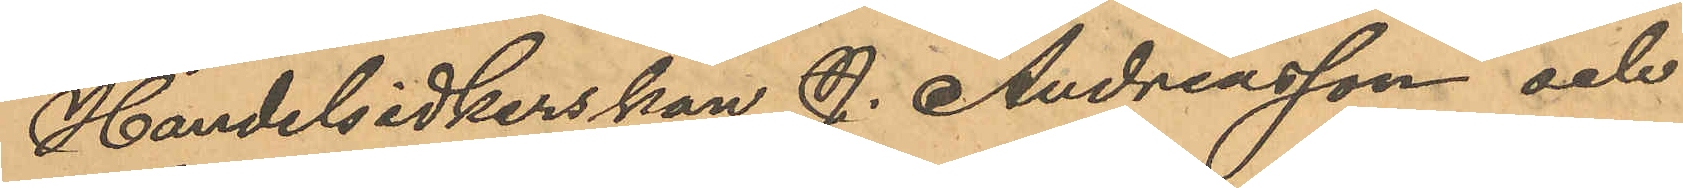Handelsidkerskan J. Andreasson och
